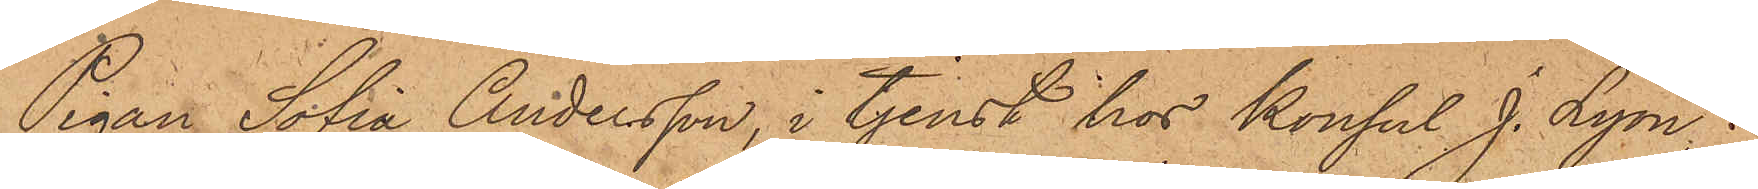Pigan Sofia Andersson, i tjenst hos Konsul J. Lyon,
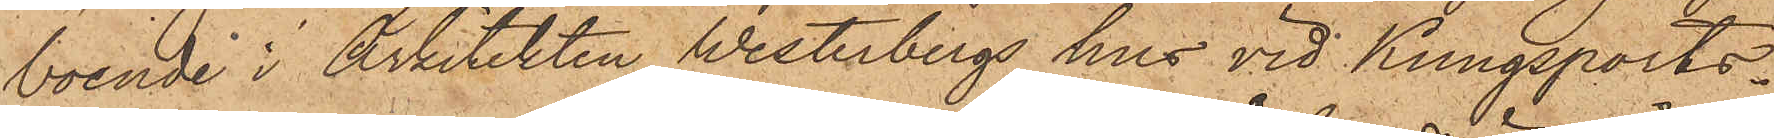boende i Arkitekten Westerbergs hus vid Kungsports¬
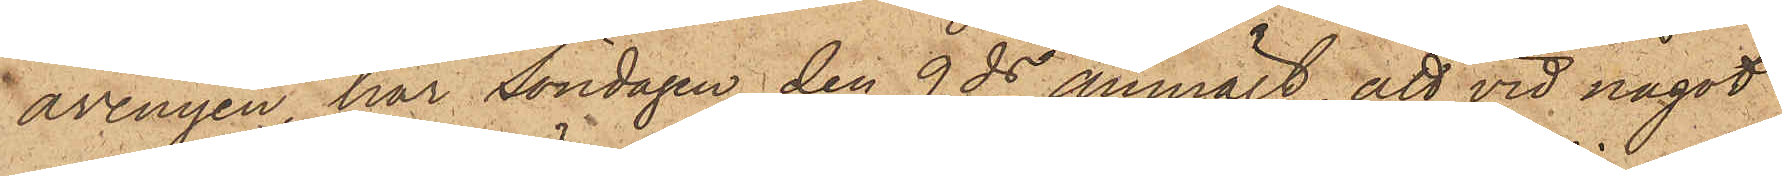avenyen, har Söndagen den 9 ds anmält, att vid något
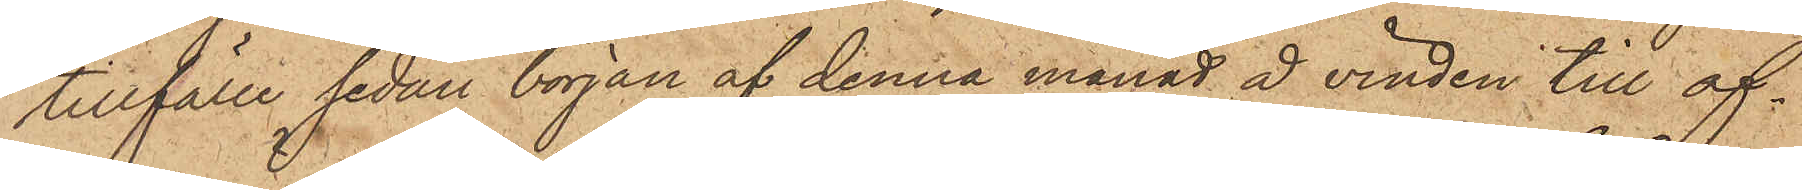tillfälle sedan början af denna månad å vinden till of¬
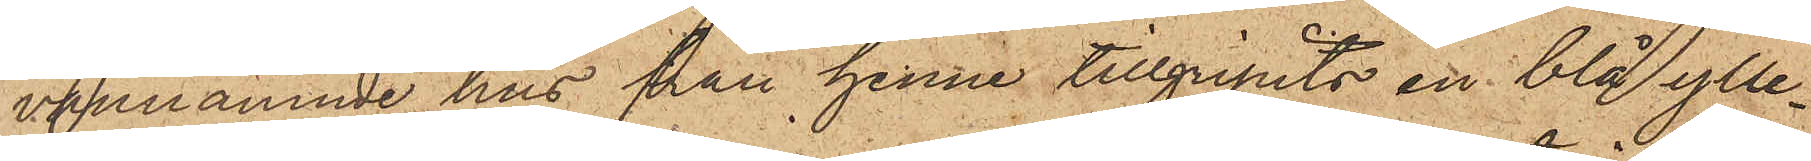vannämnde hus från henne tillgripits en blå ylle¬
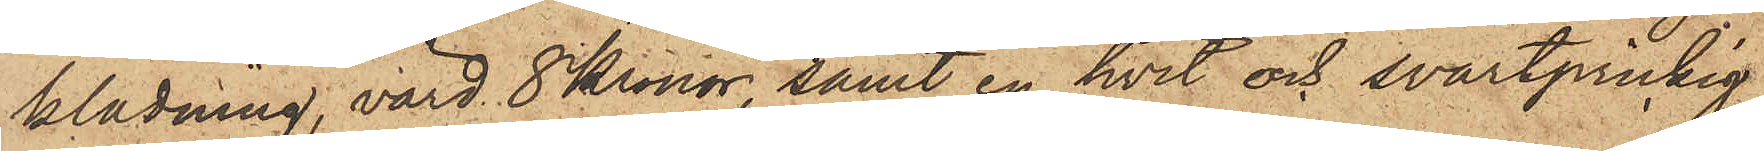klädning, värd 8 Kronor, samt en hvit och svartprickig
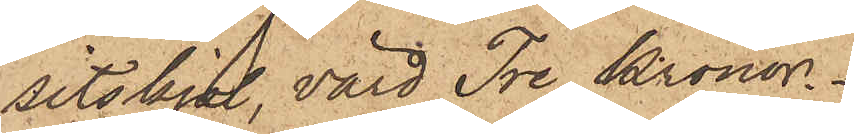sitskjol, värd Tre Kronor.
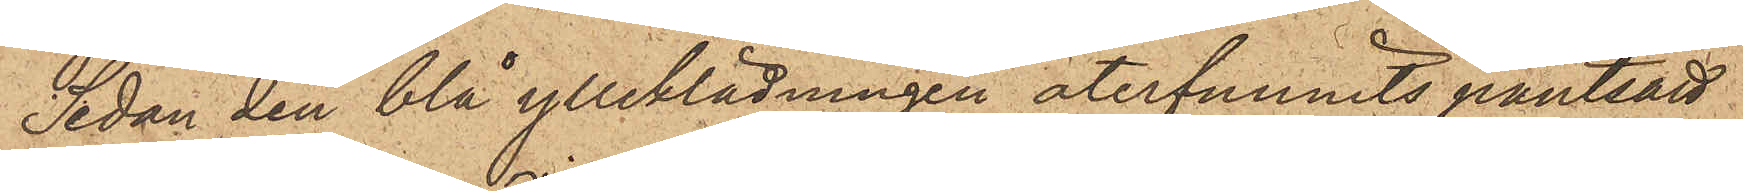Sedan den blå ylleklädningen återfunnits pantsatt
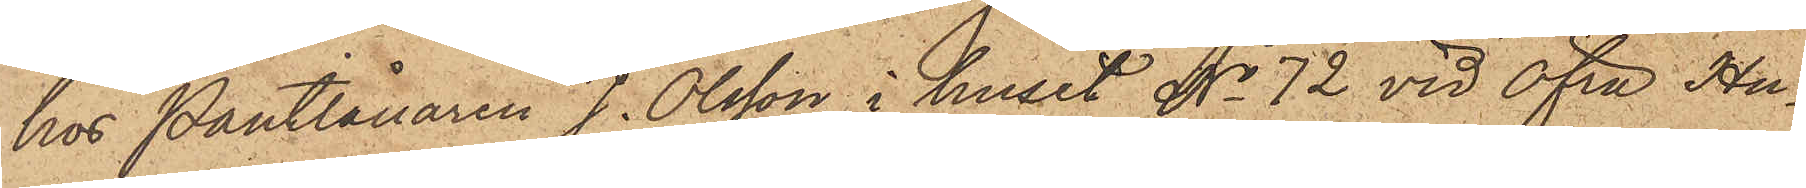hos Pantlånaren J. Olsson i huset No 72 vid Öfra Hu¬
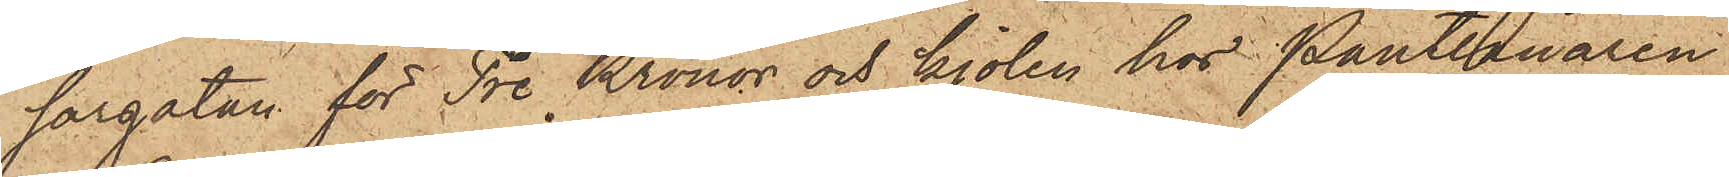sargatan för Tre Kronor och kjolen hos Pantlånaren
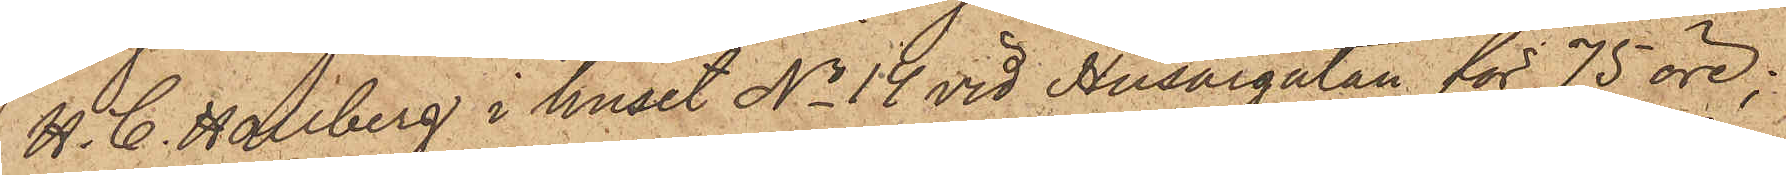H. C. Hallberg i huset No 14 vid Husargatan för 75 öre;
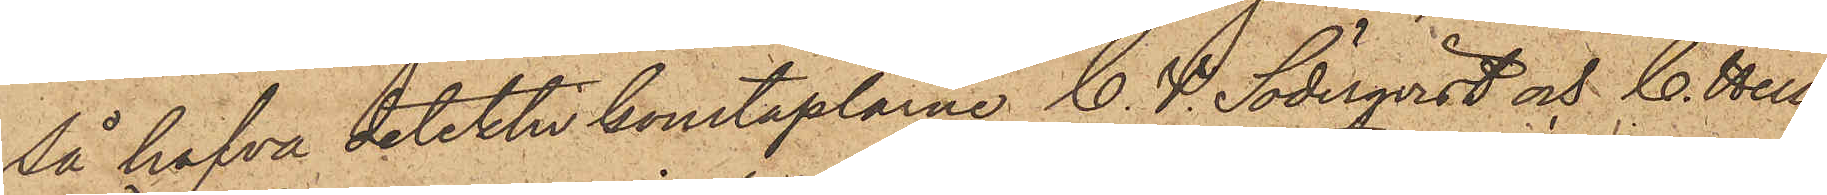Så hafva detektivkonstaplarne C. V. Söderqvist och C. Hell¬
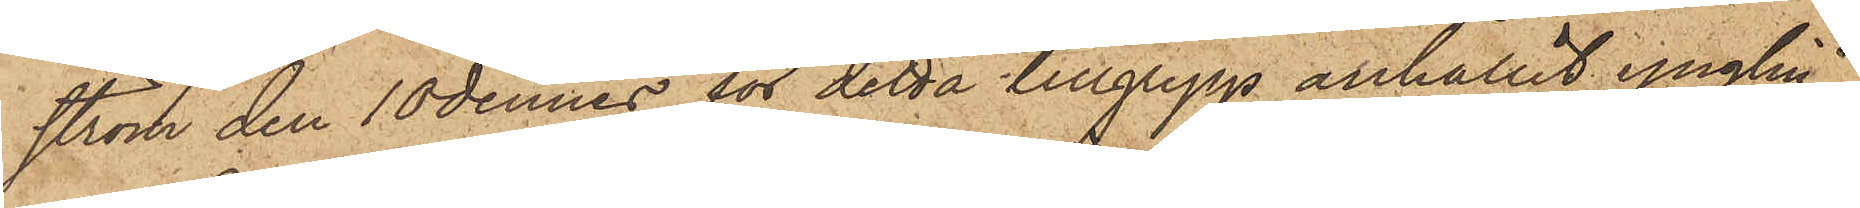ström den 10 dennes för detta tillgrepp anhållit ynglin¬
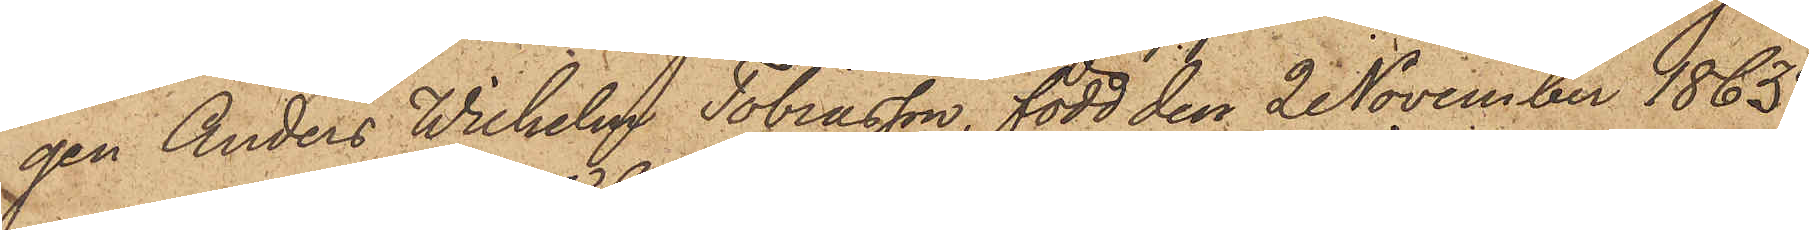gen Anders Wilhelm Tobiasson, född den 2 November 1863.
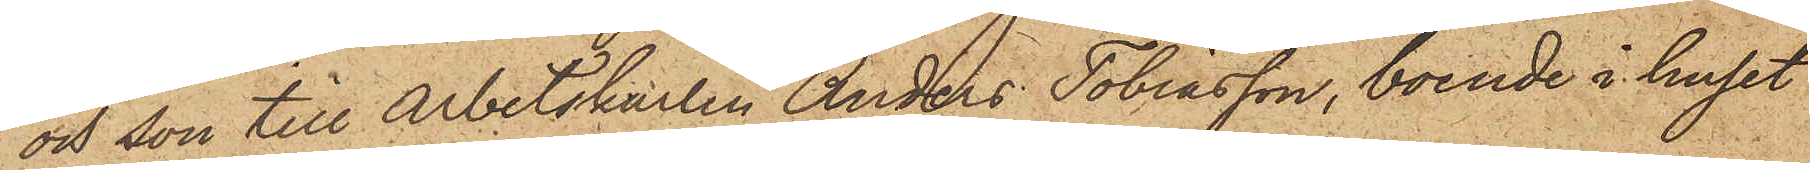och son till Arbetskarlen Anders Tobiasson, boende i huset
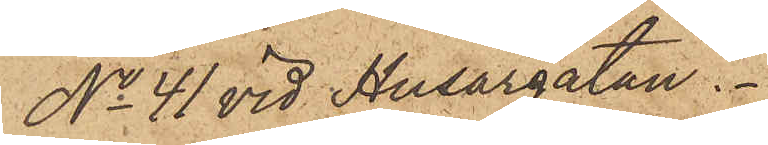No 41 vid Husargatan.
